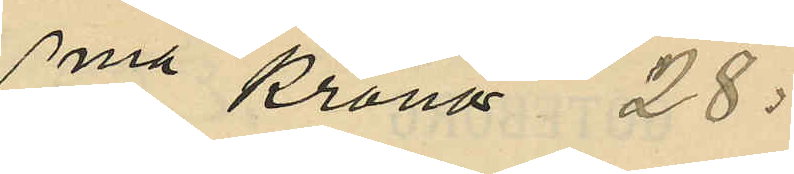Sma Kronor 28:
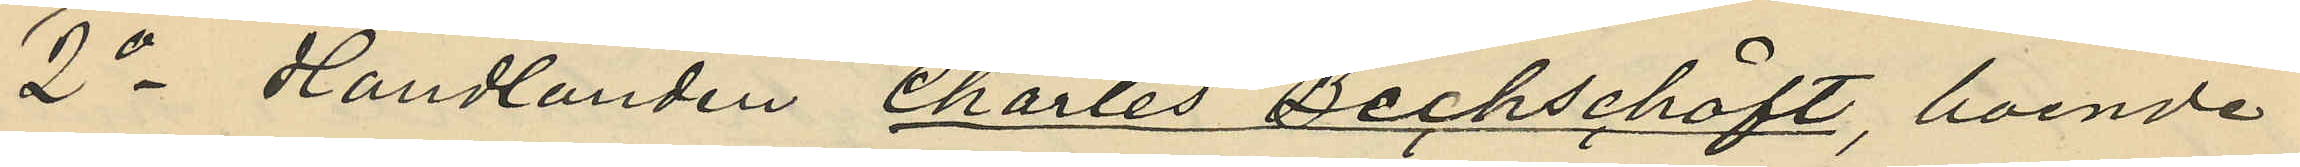2o Handlanden Charles Bechschöft, boende
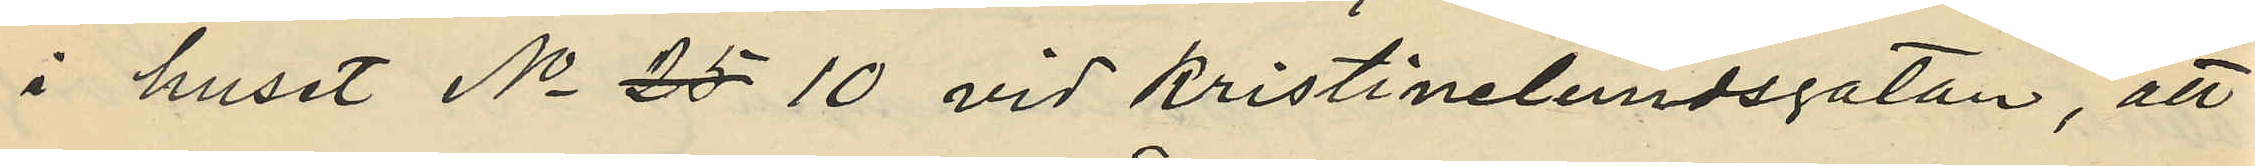i huset No 25 10 vid Kristinelundsgatan, att
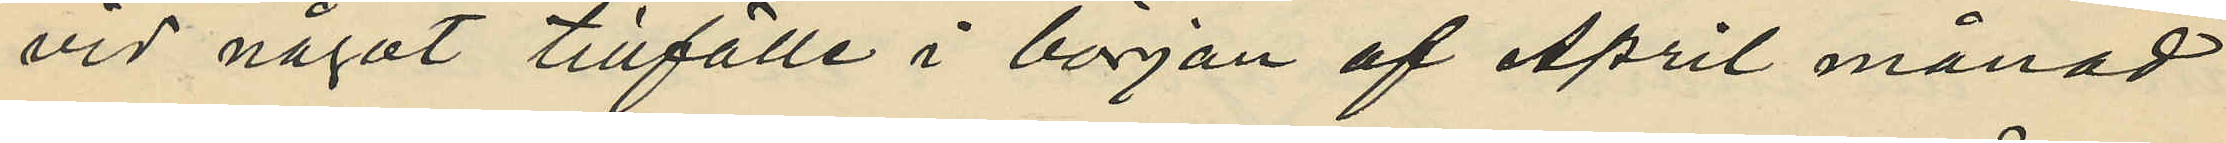vid något tillfälle i början af April månad
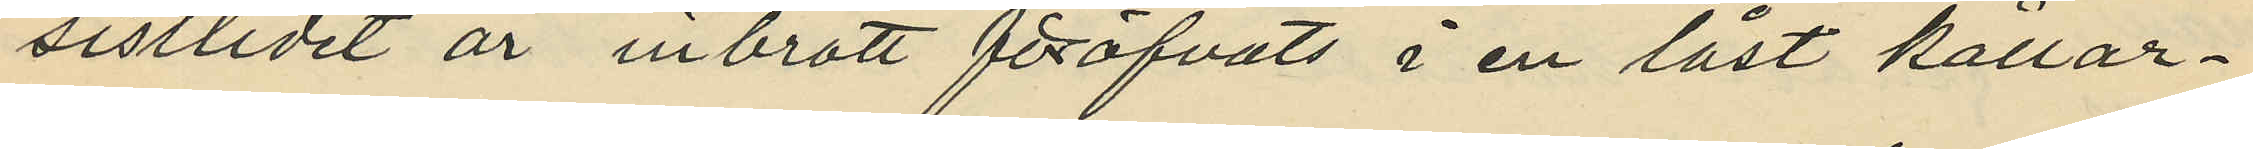sistlidet år inbrott föröfvats i en låst källar¬
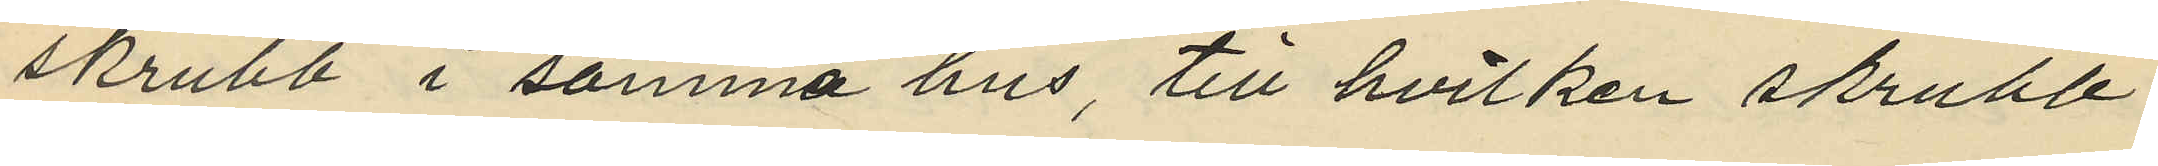skrubb i samma hus, till hvilken skrubb
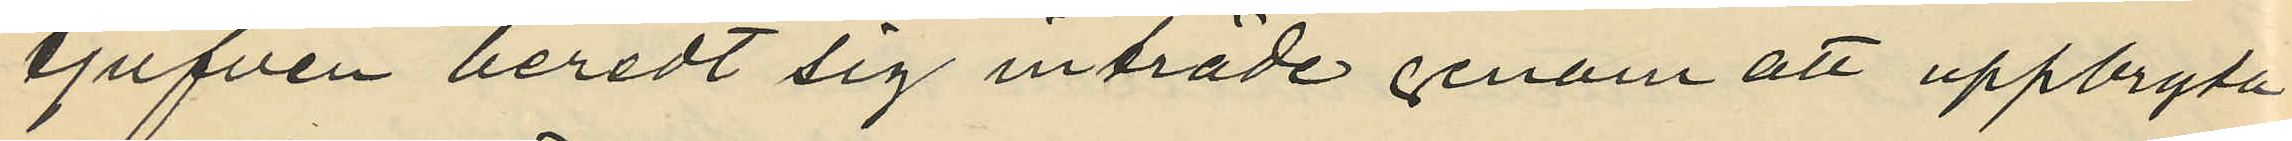tjufven beredt sig inträde genom att uppbryta
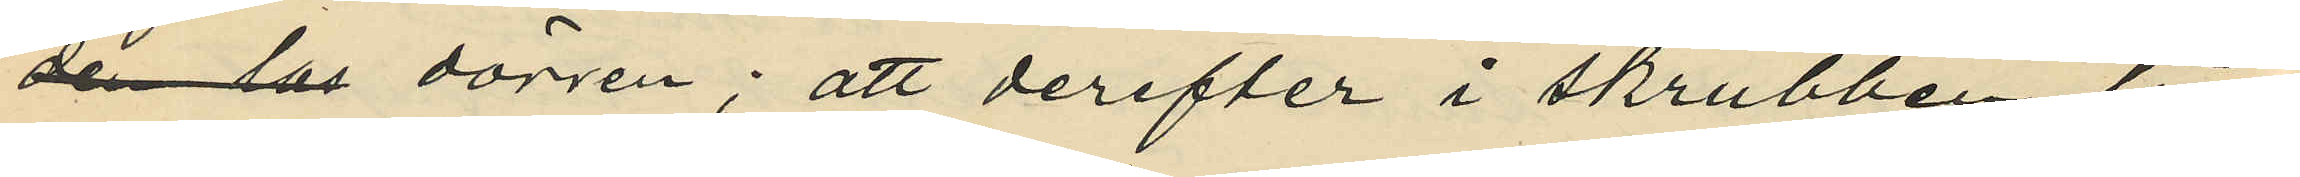den los dörren; att derefter i skrubben till¬
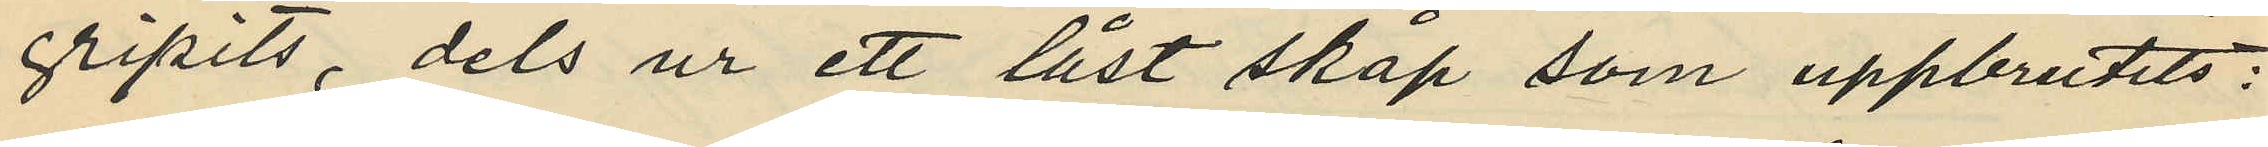gripits, dels ur ett låst skåp som uppbrutits:
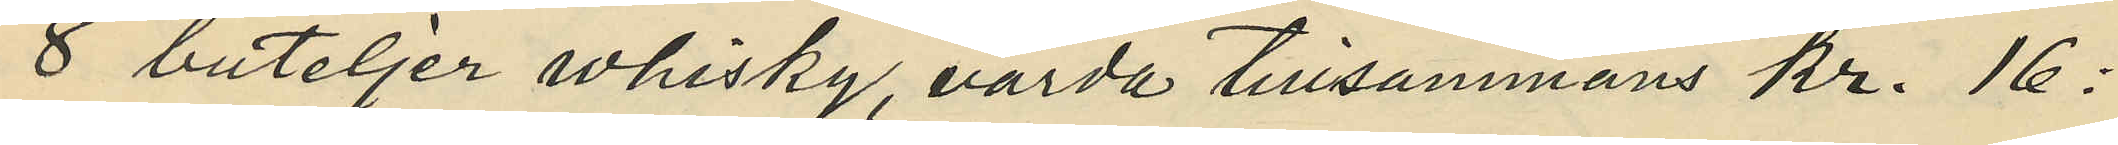8 buteljer whisky, värda tillsammans kr. 16:
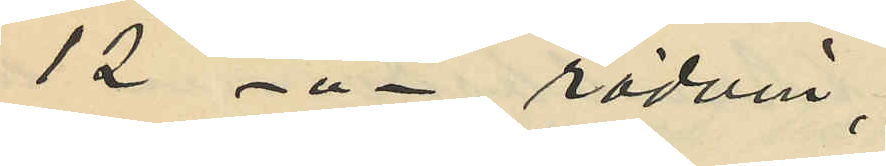12 - " - rödvin,
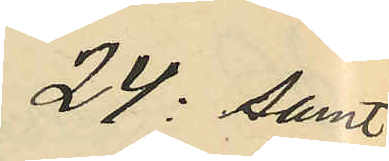24: samt
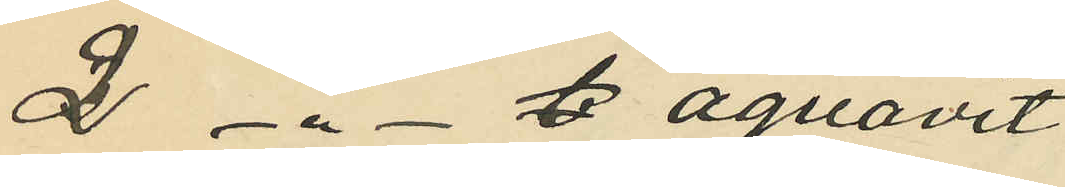2 - " -  b aquavit
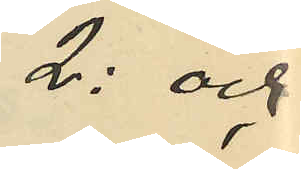2: och
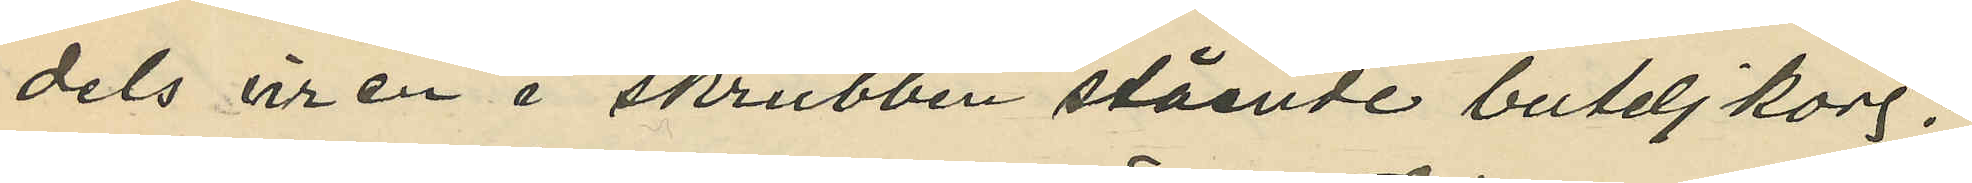dels ur en i skrubben stående buteljkorg;
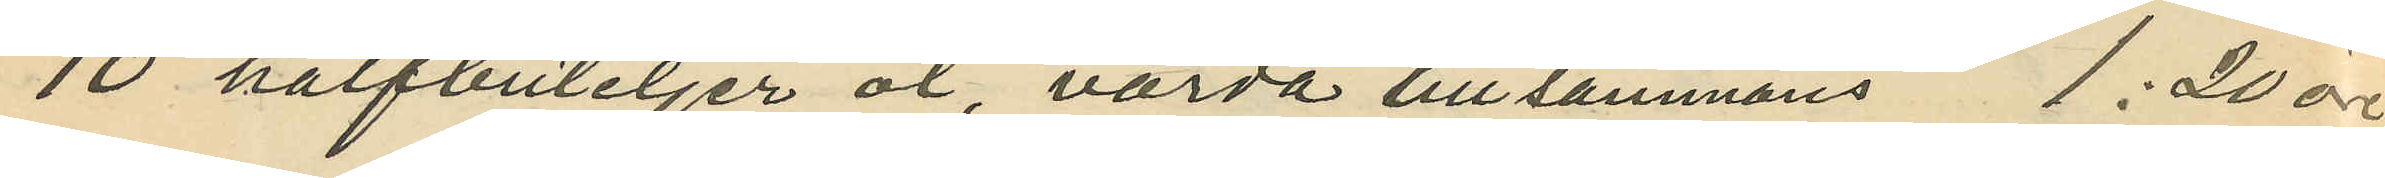10 halfbuteljer öl, värda tillsammans 1: 20 öre
